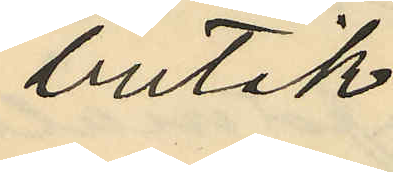butik;
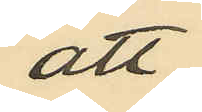att
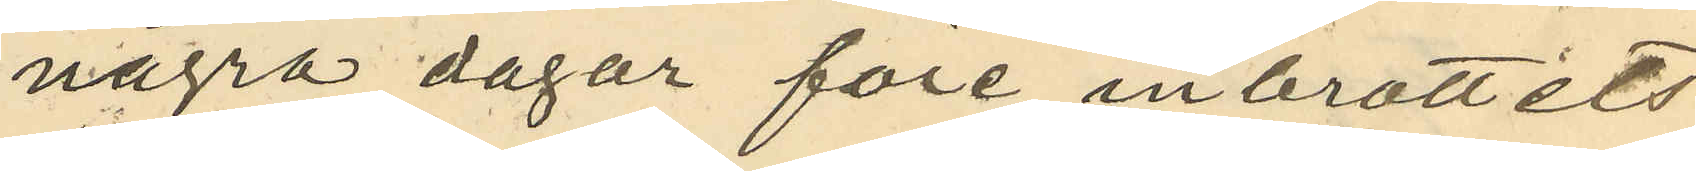några dagar före in brottets
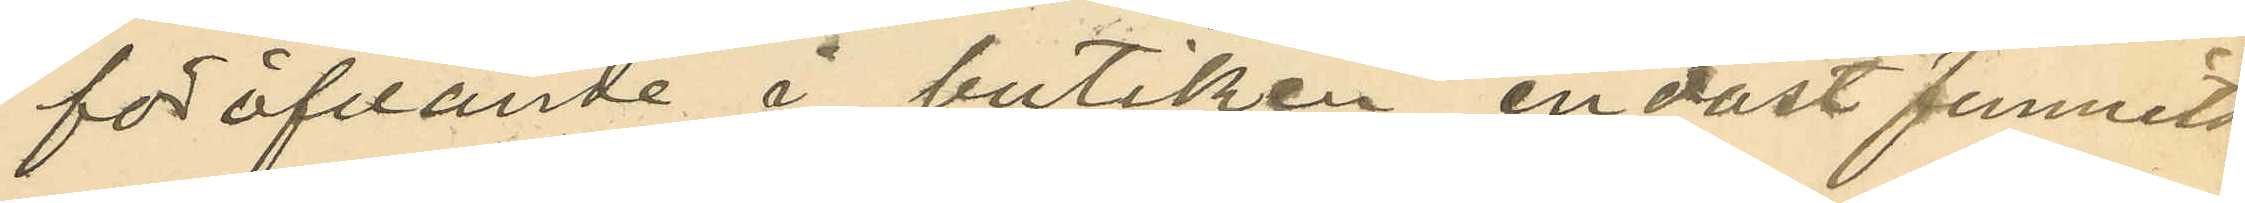föröfvande i butiken endast funnits
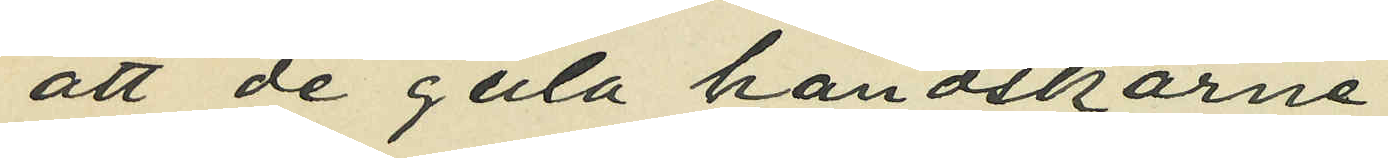att de gula handskarne
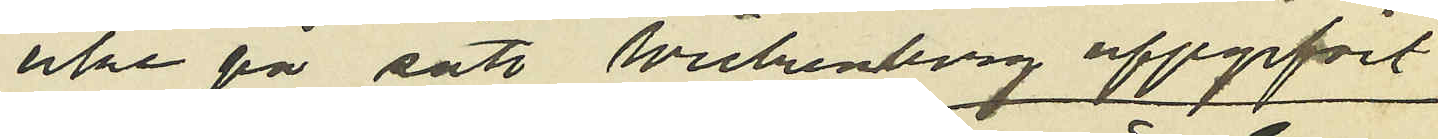icke på sätt Wickenberg uppgifvit
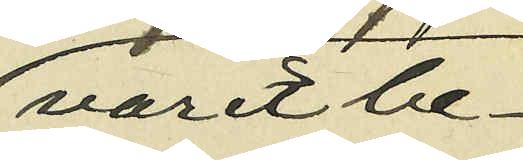varit be¬
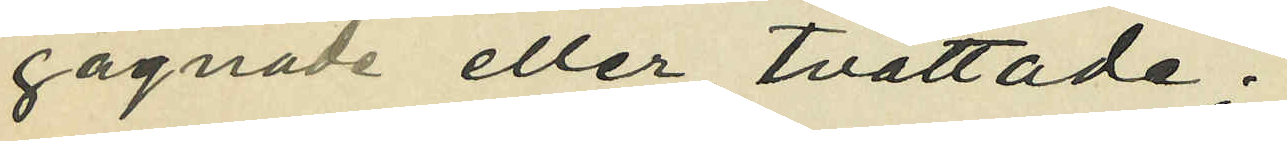gagnade eller tvättade;
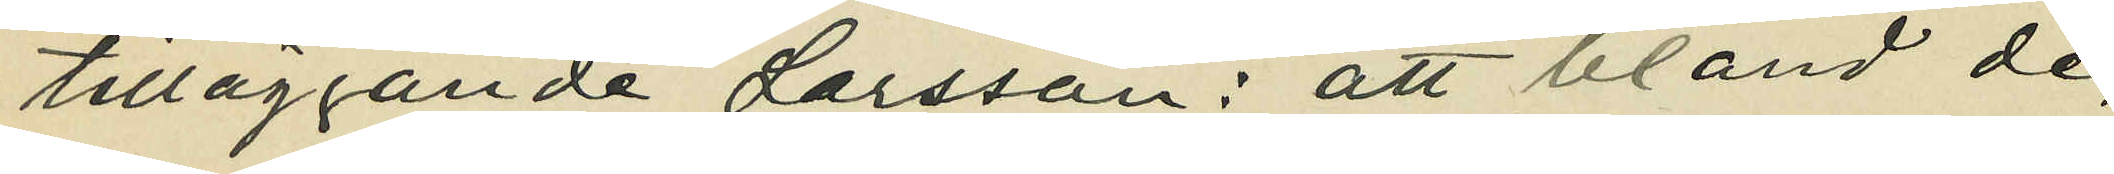tilläggande Larsson: att bland de
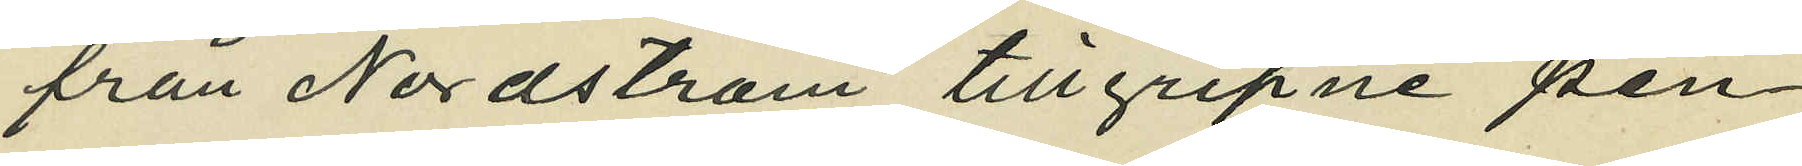från Nordström tillgripne pen¬
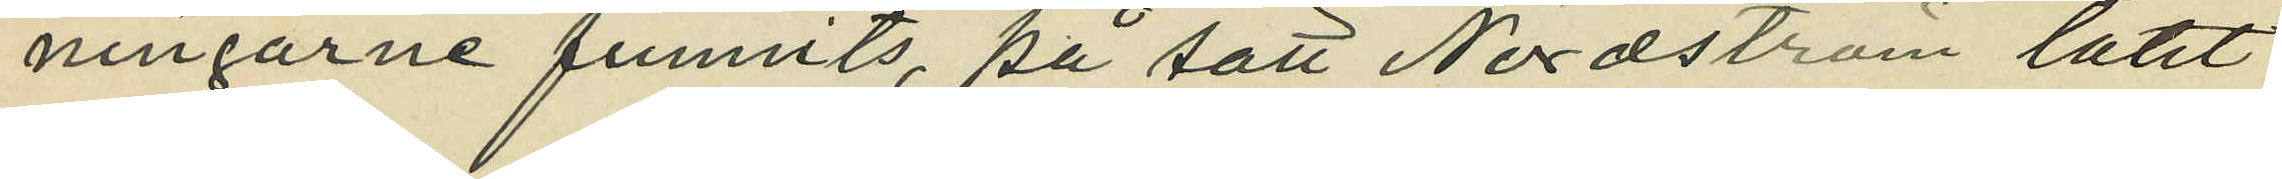ningarne funnits, på sätt Nordström låtit
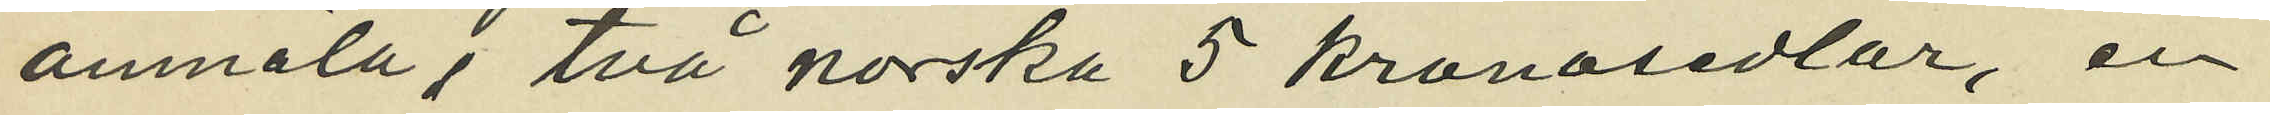anmäla, två norska 5 kronosedlar, en
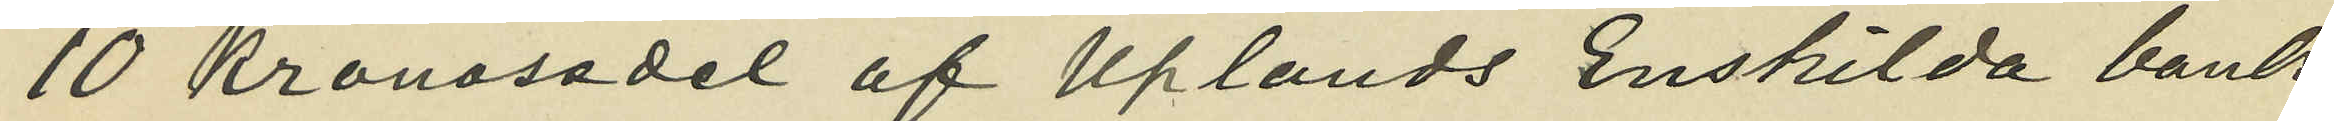10 kronosedel af Uplands Enskilda bank
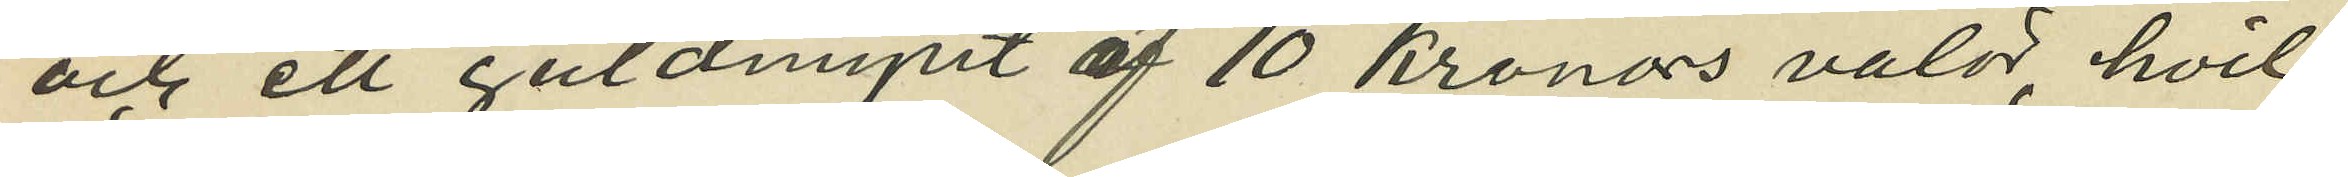och ett guldmynt af 10 kronors valör, hvil¬
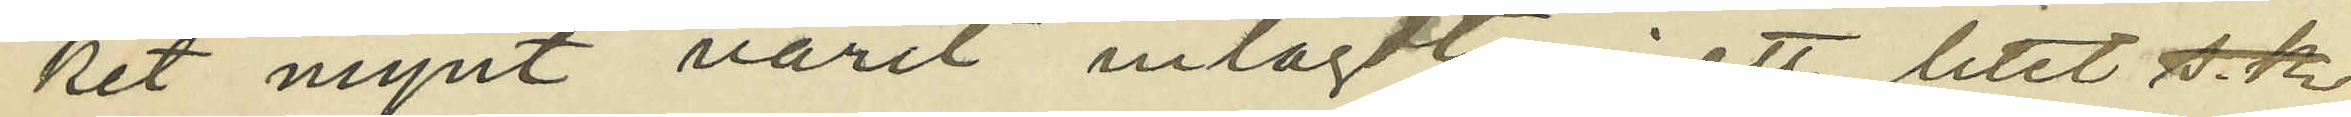ket mynt varit inlagdt i ett lilet 
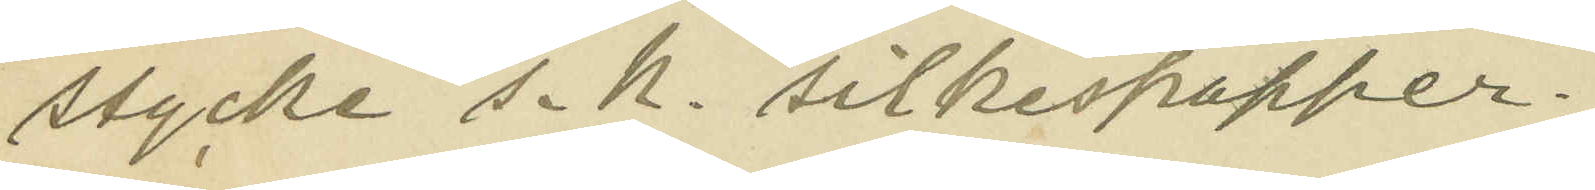stycke s.k. silkespapper;
